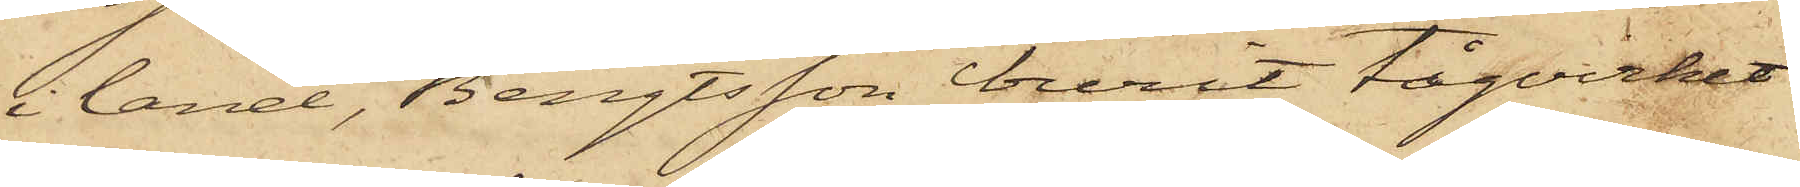i land, Bengtsson burit tågvirket
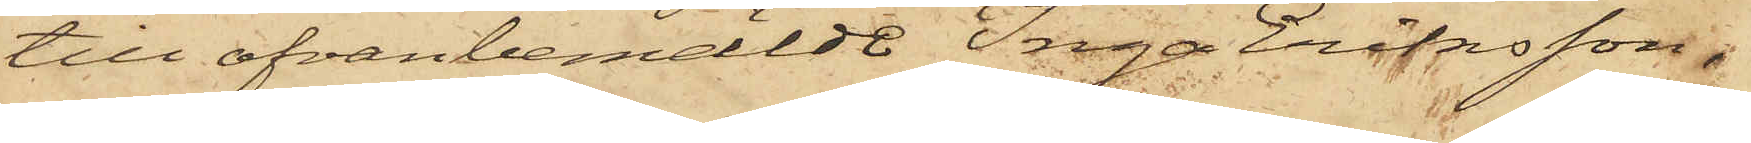till ofvanbemälde Inga Eriksson,
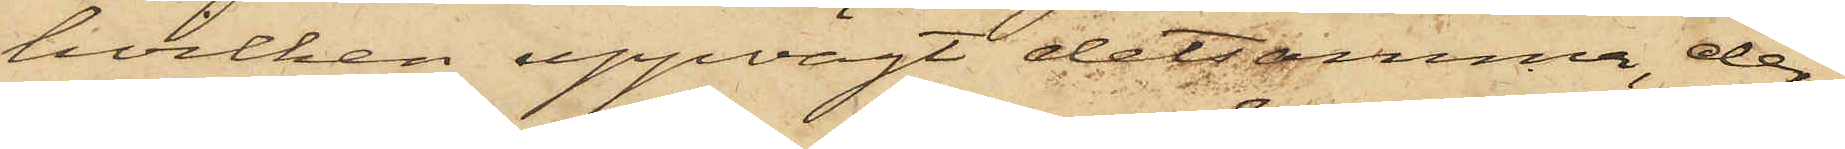hvilken uppvägt detsamma, der¬
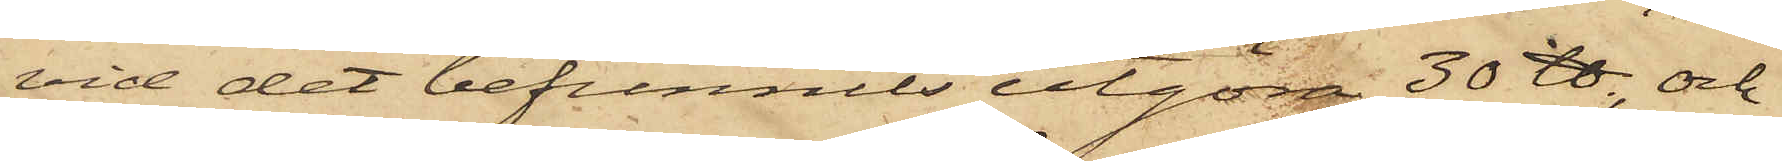vid det befunnits utgöra 30 ℔, och
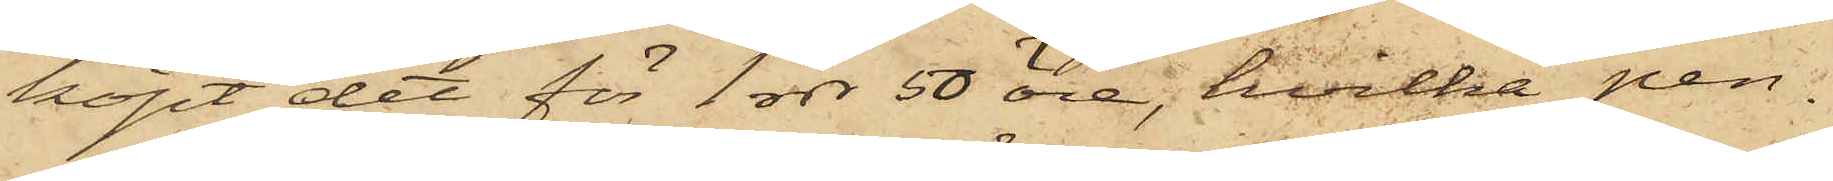köpt det för 1 rdr 50 öre, hvilka pen¬
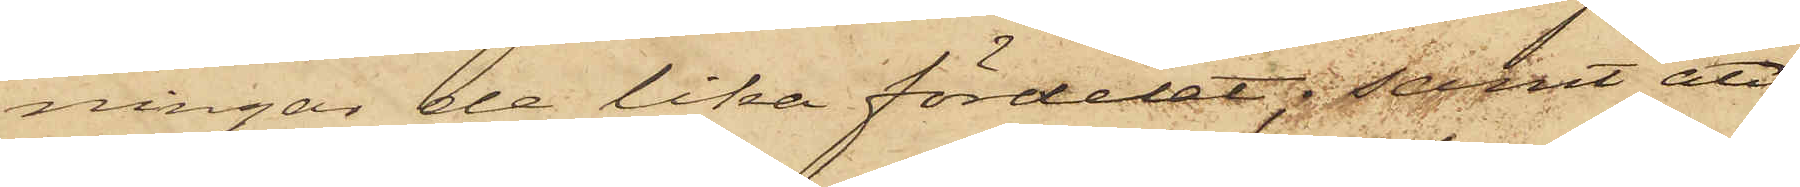ningar de lika fördelat; samt att
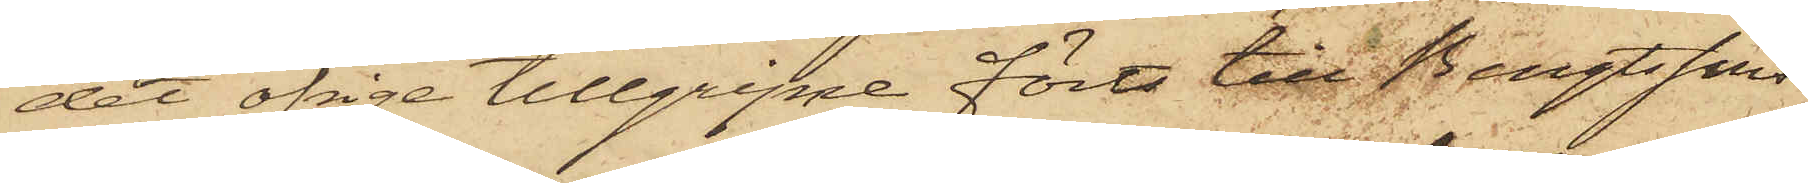det öfrige tillgripne förts till Bengtssons
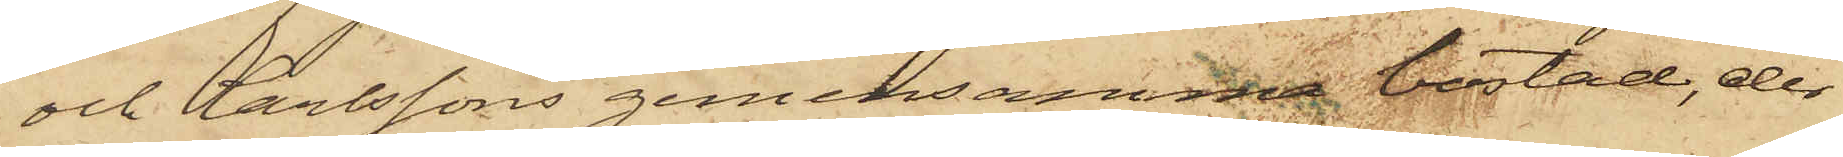och Carlssons gemensamma bostad, der
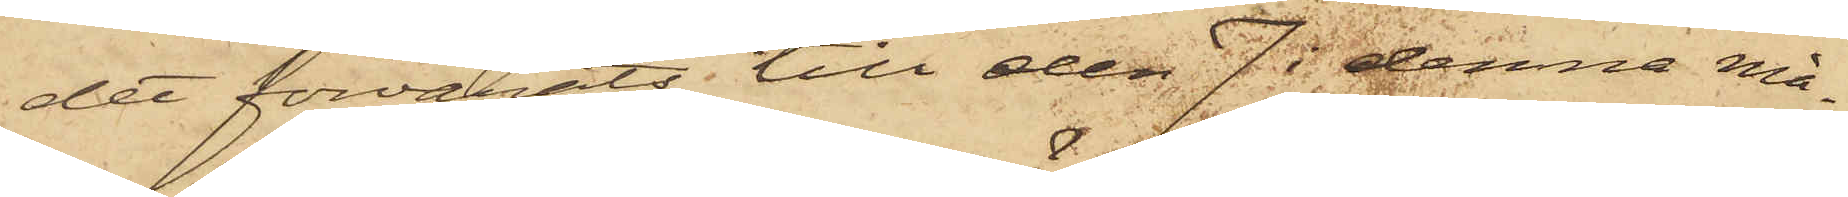det förvarats till den 7 i denna må¬
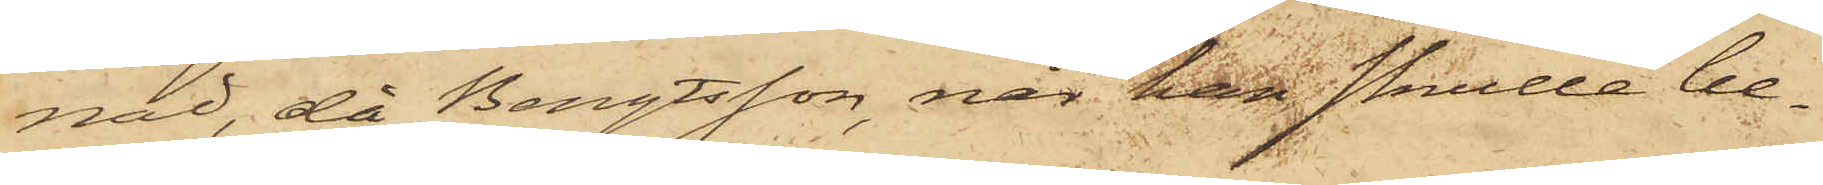nad, då Bengtsson, när han skulle be¬
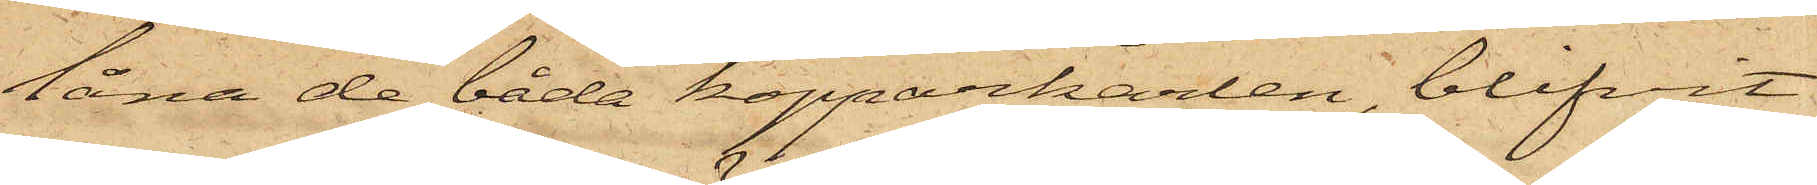låna de båda kopparkärlen, blifvit
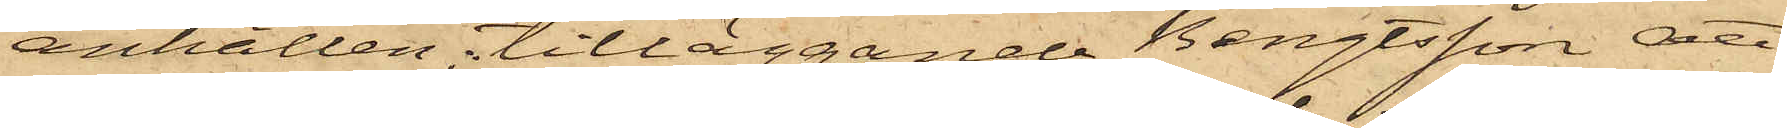anhållen, tilläggande Bengtsson att
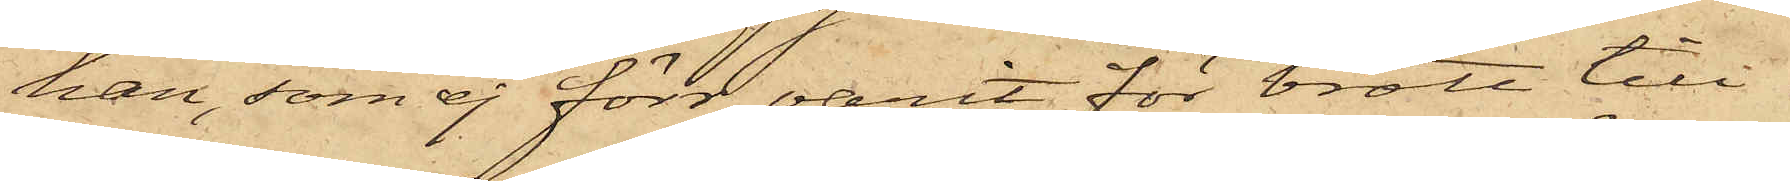han, som ej förr varit för brott till¬
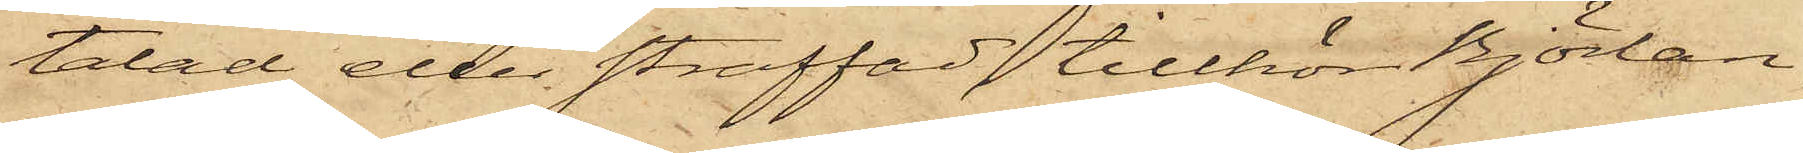talad eller straffad, tillhör Björlan¬
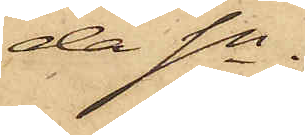da Sn.
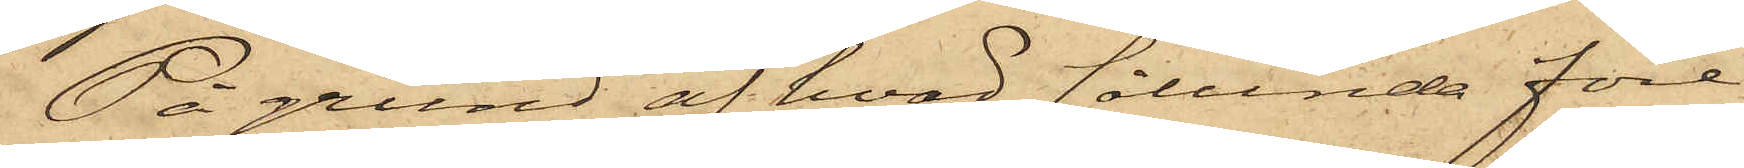På grund af hvad sålunda före¬
